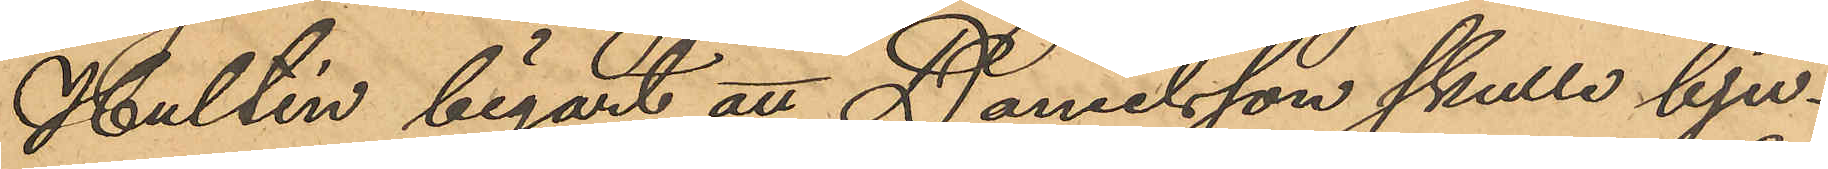Hultén begärt att Danielsson skulle bju¬
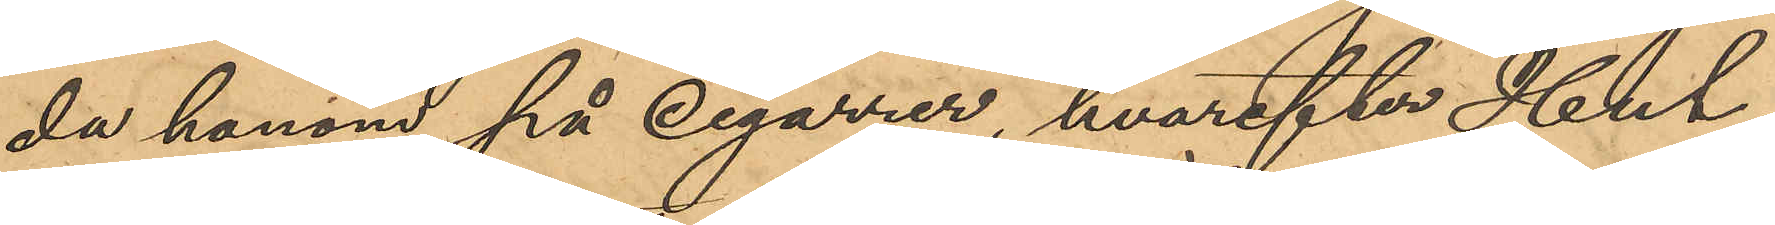da honom på cigarrer, hvarefter Hul¬
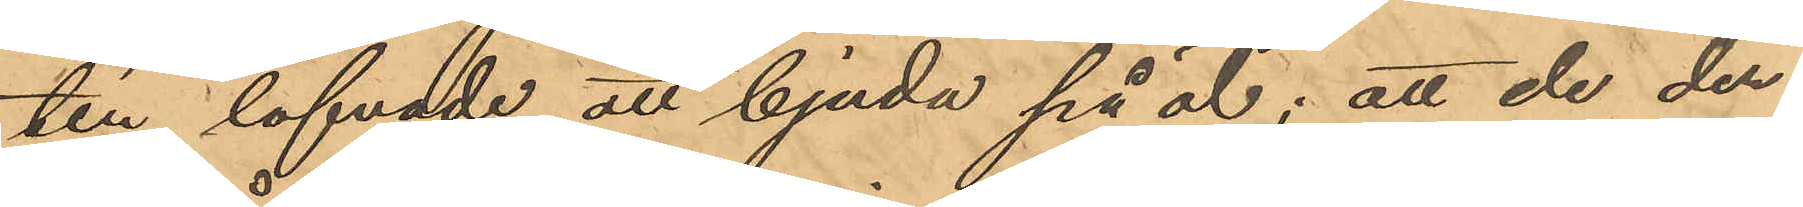tén lofvade att bjuda på öl; att de der¬
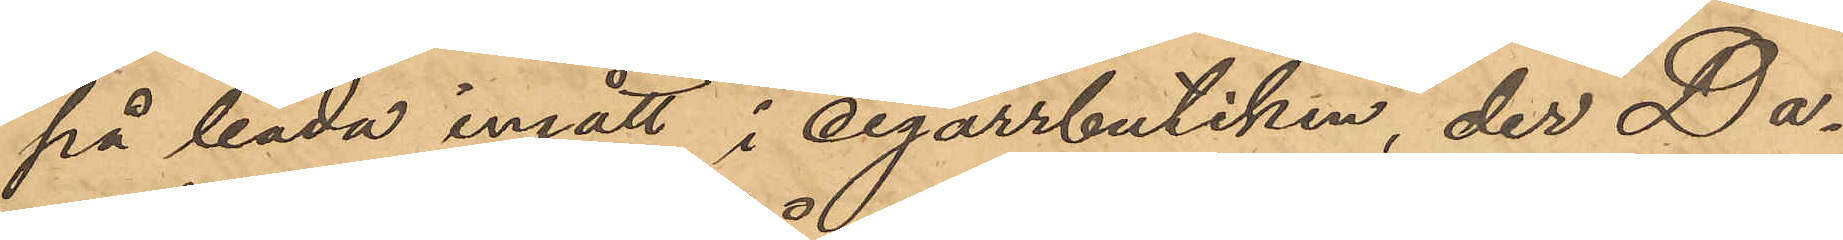på båda ingått i cigarrbutiken, der Da¬
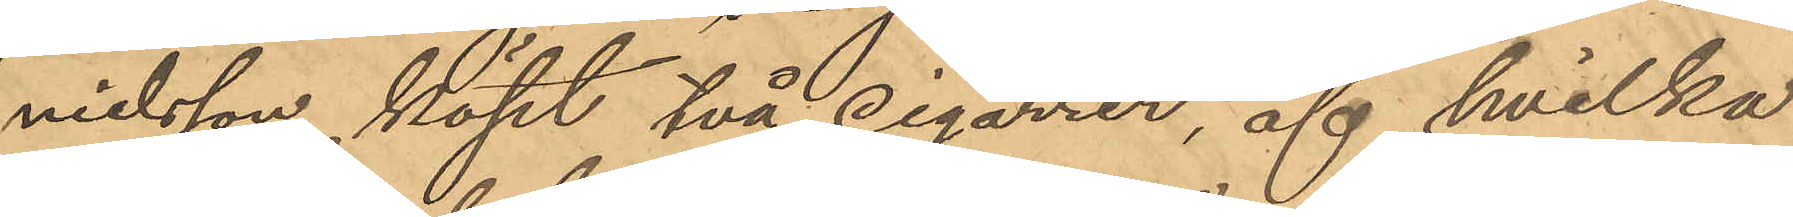nielsson köpt två cigarrer, af hvilka
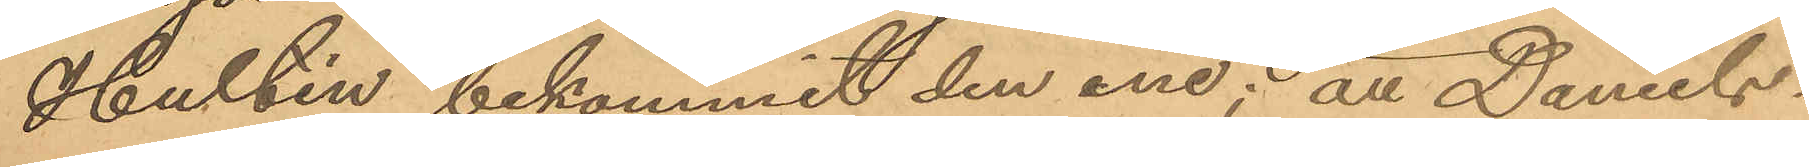Hultén bekommit den ene; att Daniels¬
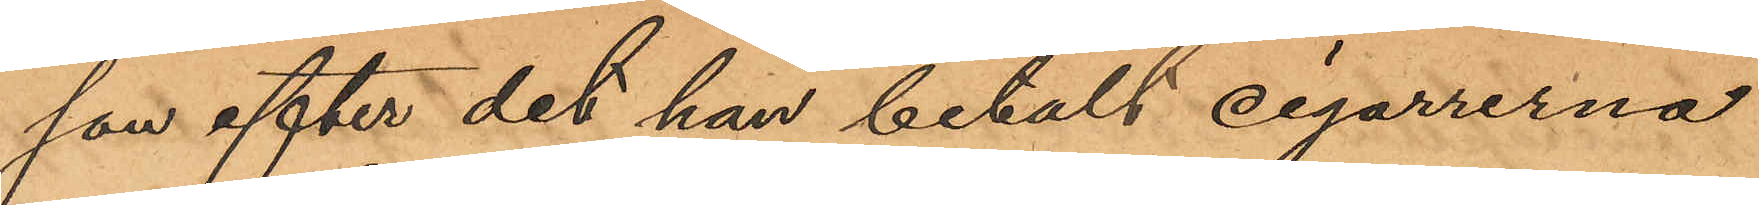son efter det han betalt cigarrerna
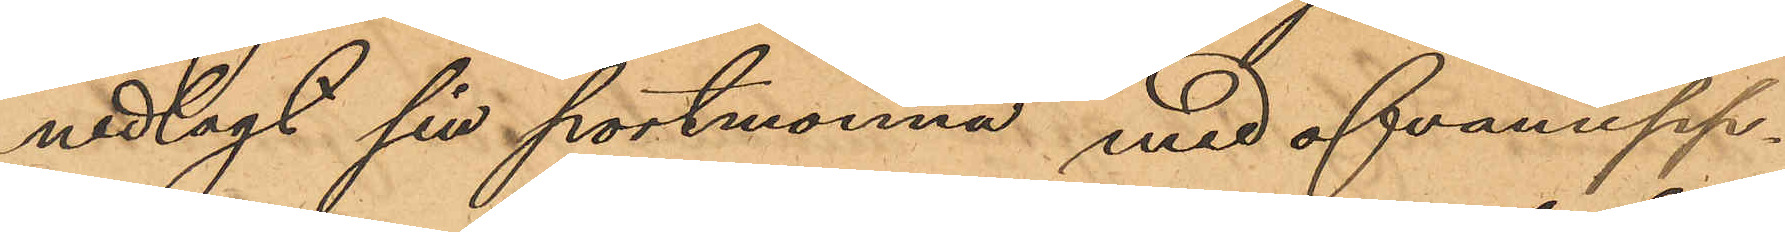nedlagt sin portmonnä med ofvanupp¬
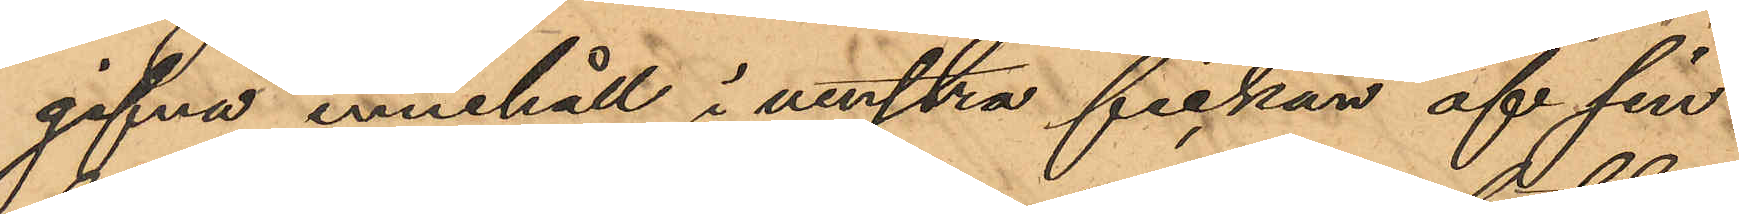gifna innehåll i venstra fickan af sin
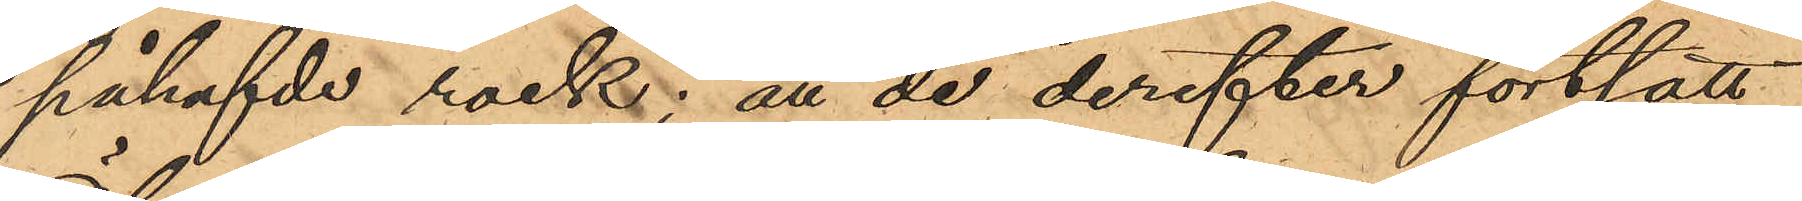påhafvde rock; att de derefter fortsatt
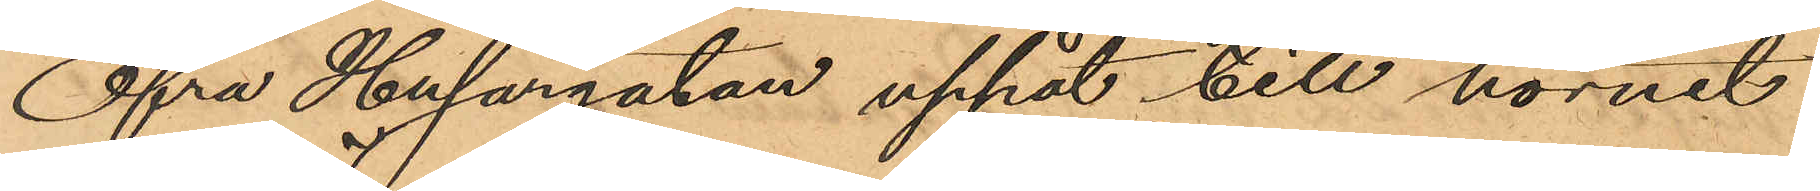Öfra Husargatan uppåt till hörnet
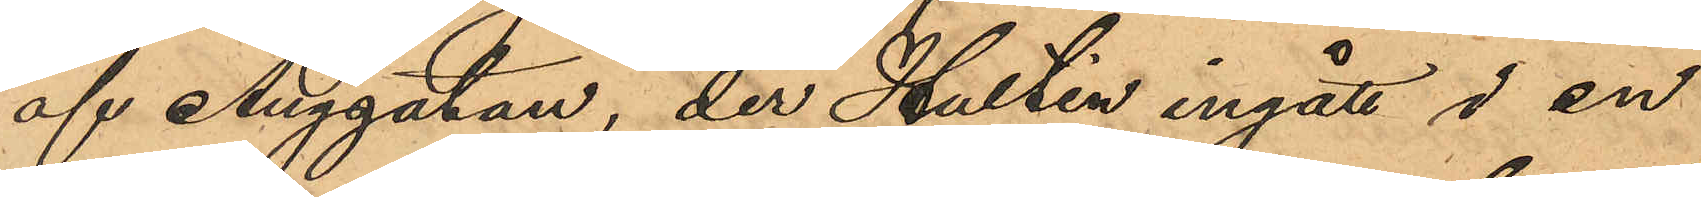af Änggatan, der Hultén ingått i en
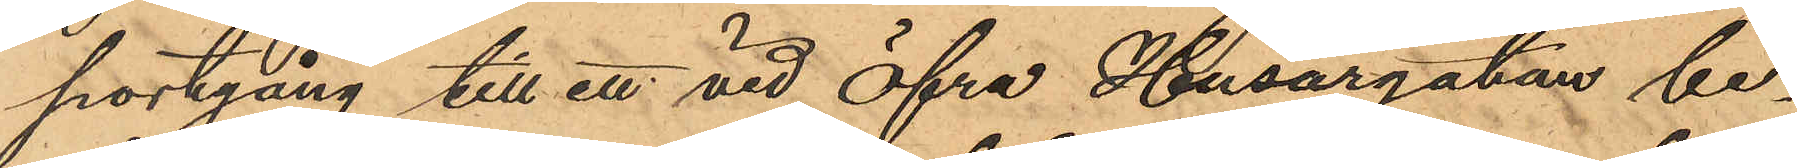portgång till ett vid Öfra Husargatan be¬
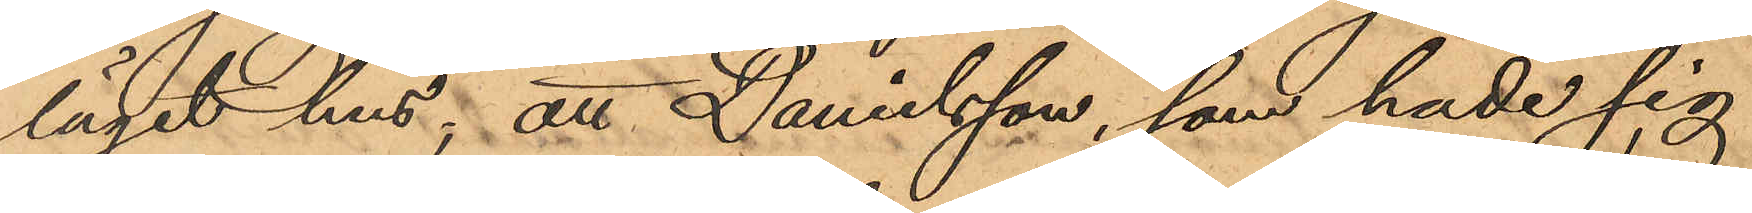läget hus; att Danielsson, som hade sig
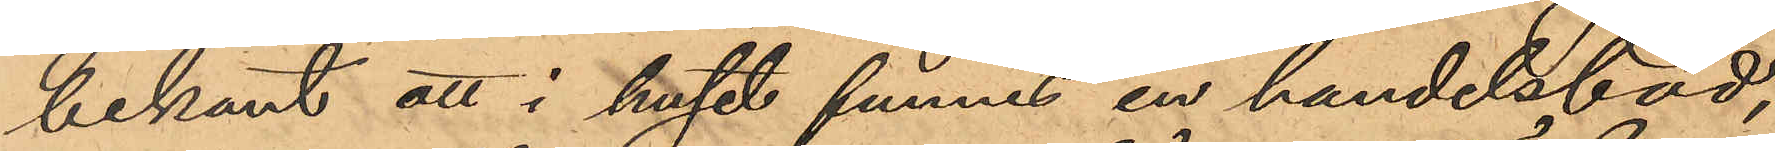bekant att i huset funnes en handelsbod,
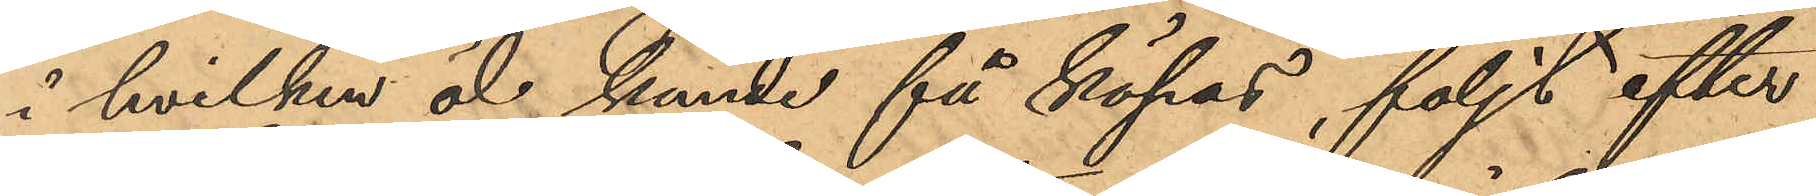i hvilken öl kunde få köpas, följt efter
